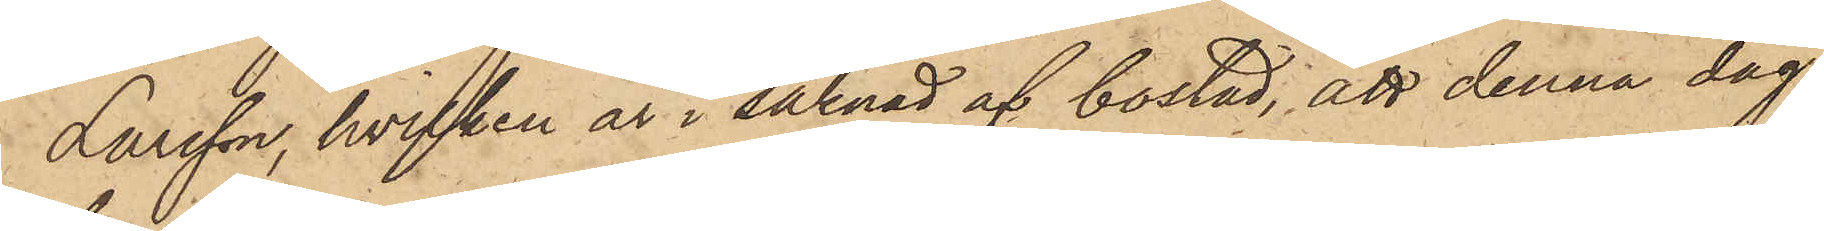Larsson, hvilken är i saknad af bostad, att denna dag
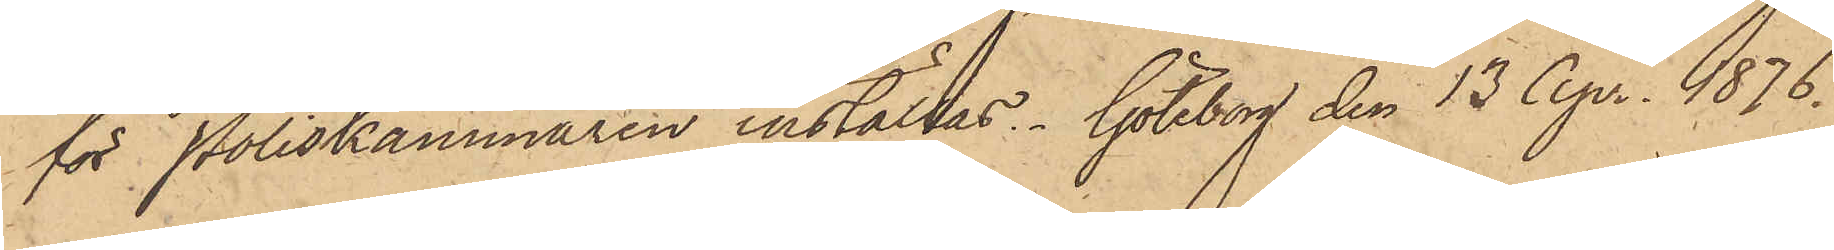för Poliskammaren inställas. Göteborg den 13 Apr. 1876.
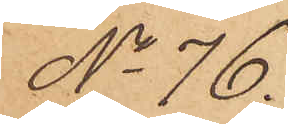No 76.
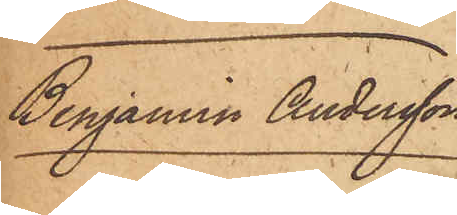Benjamin Andersson
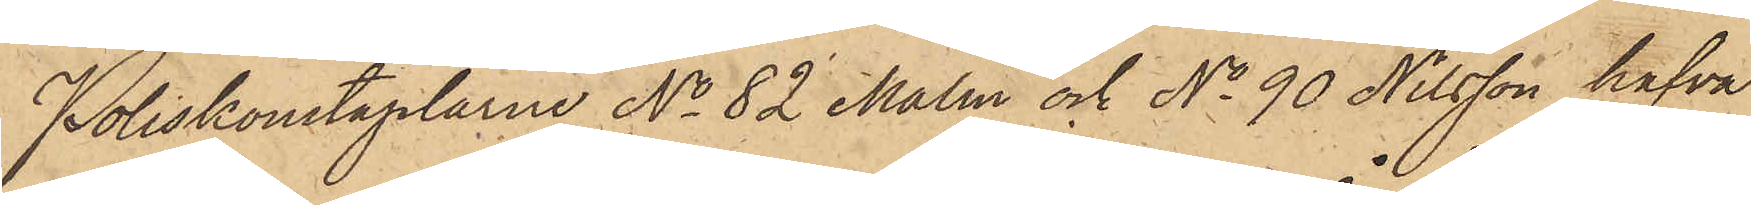Poliskonstaplarne No 82 Malm och No 90 Nilsson hafva
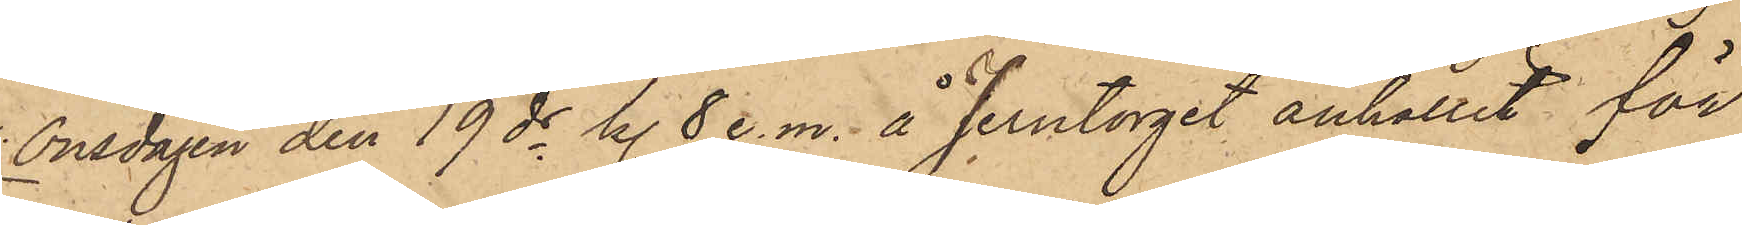onsdagen den 19 ds kl. 8 e. m. å Jerntorget anhållit för
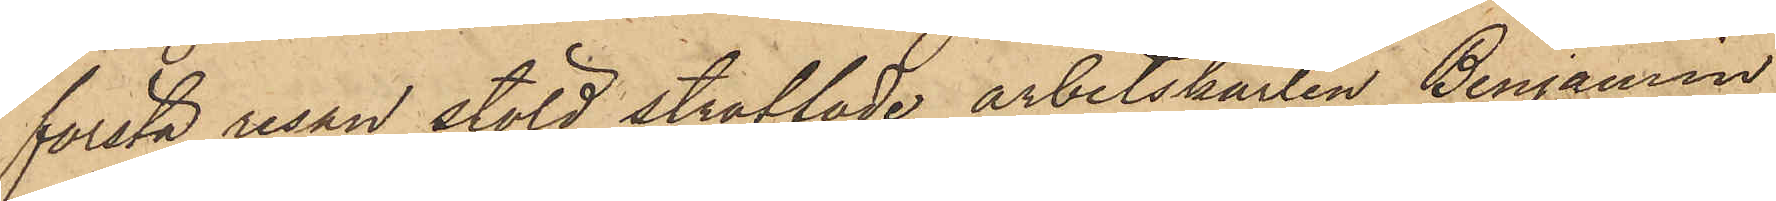första resan stöld straffade arbetskarlen Benjamin
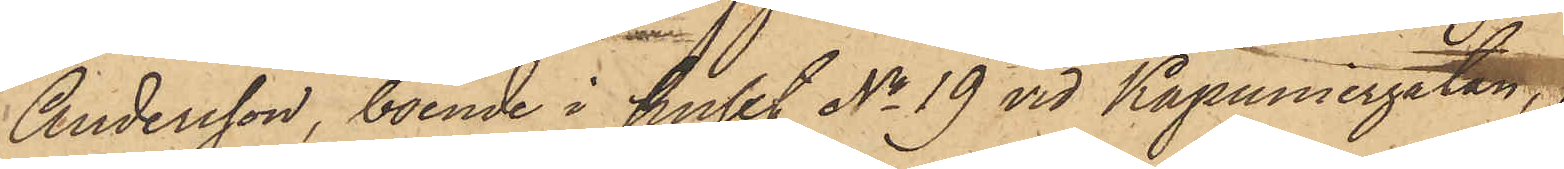Andersson, boende i huset No 19 vid Kapuniergatan,
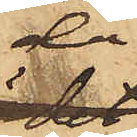då
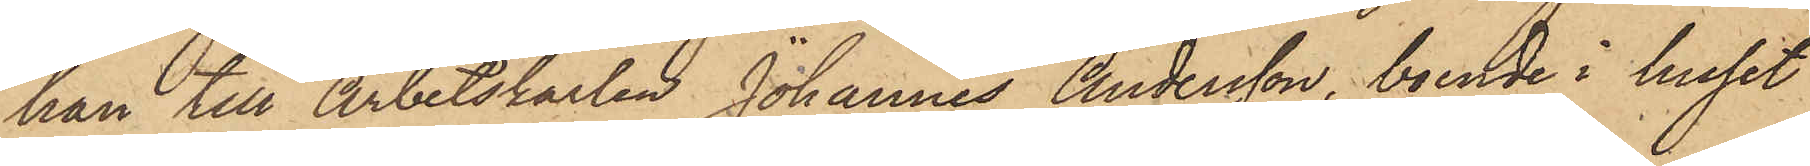han till Arbetskarlen Johannes Andersson, boende i huset
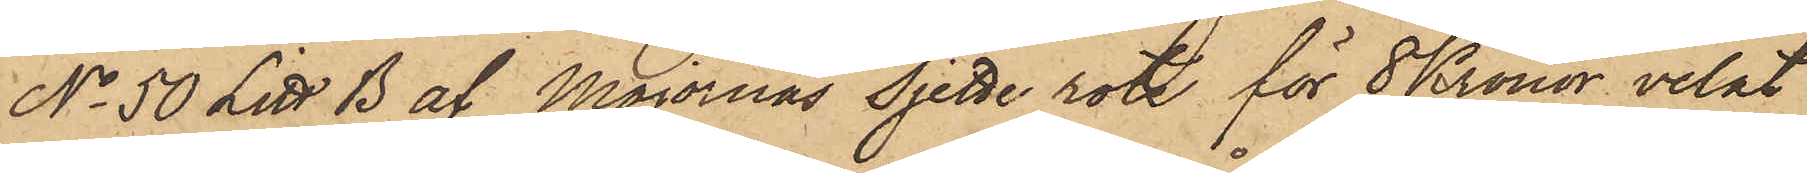No 50 Litt. B af Majornas Sjette rote för 8 Kronor velat
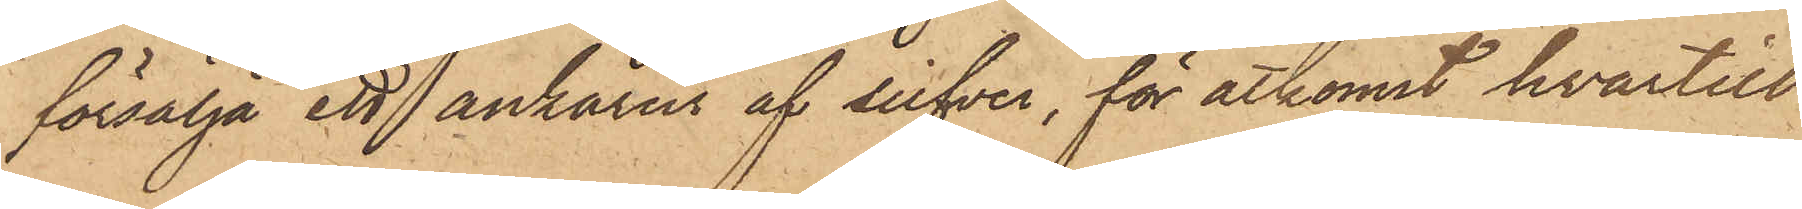försälja ett ankarur af silfver, för åtkomst hvartill
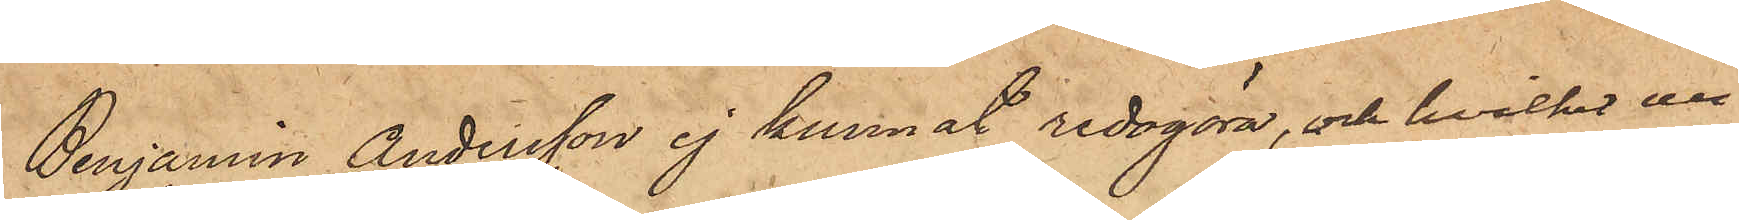Benjamin Andersson ej kunnat redogöra, och hvilket ur
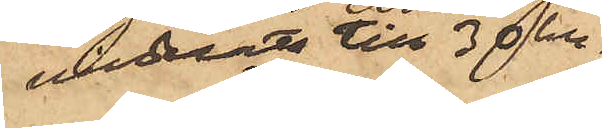värderats till 30 kr.
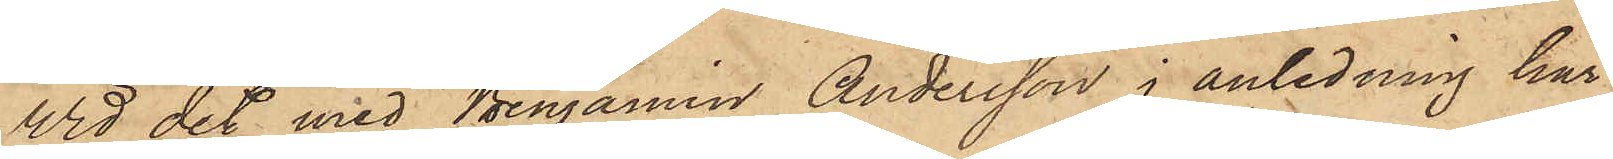Vid det med Benjamin Andersson i anledning här¬
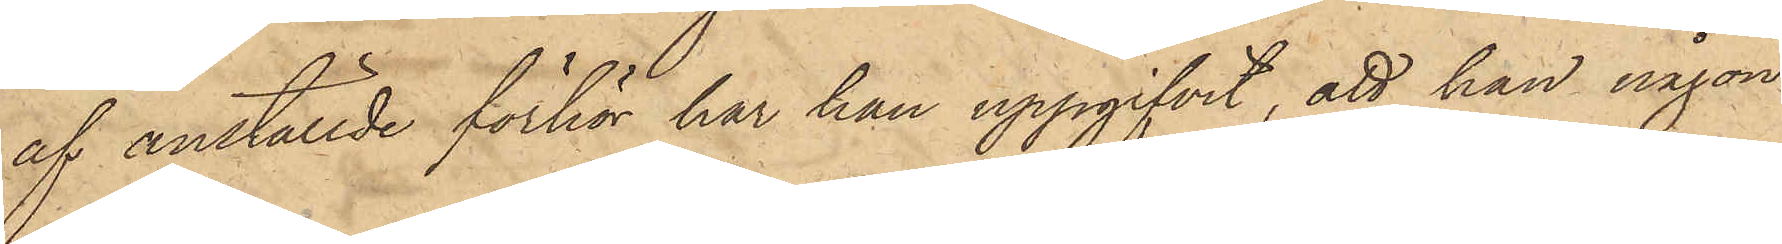af anställde förhör har han uppgifvit, att han någon
